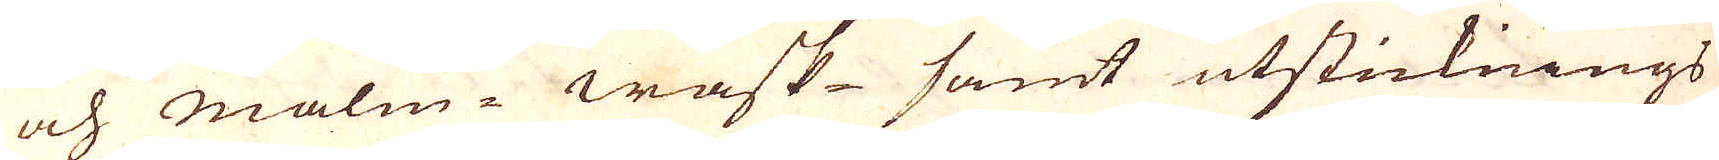och malm-wask samt utsticknings
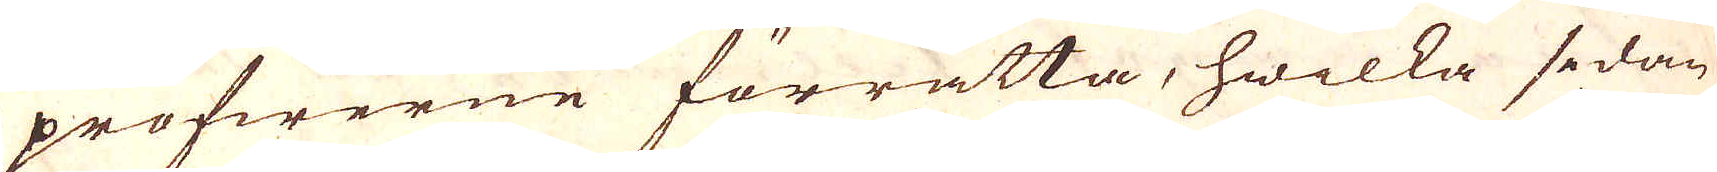profwerne förrätta, hwilka sedan
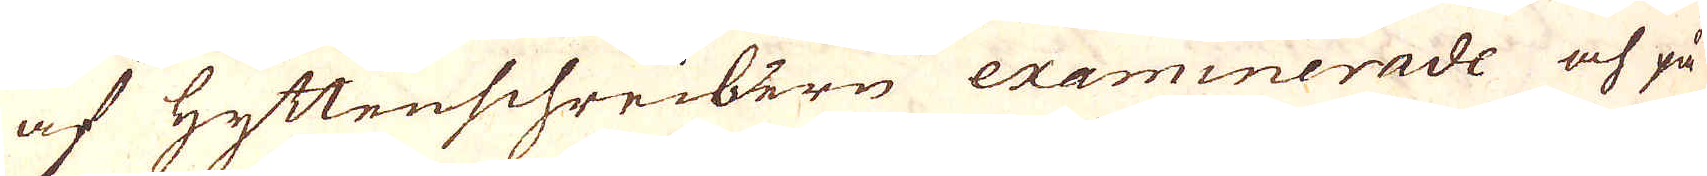af Hyttenschreibern examinerade och på
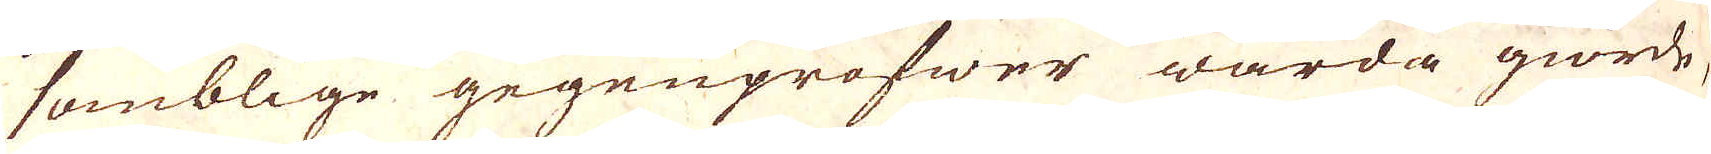somblige gegenprofwer warda giorde,
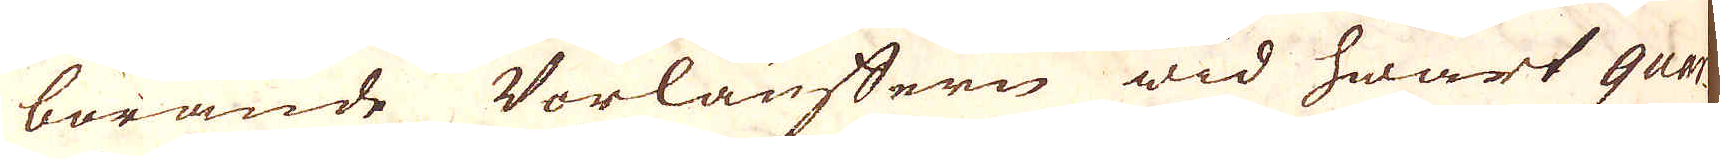börande Vorlauffern wid hwart quar-
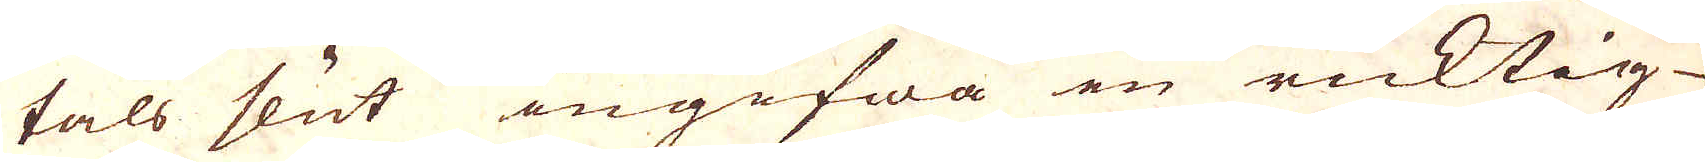tals slut ingifwa en ricktig
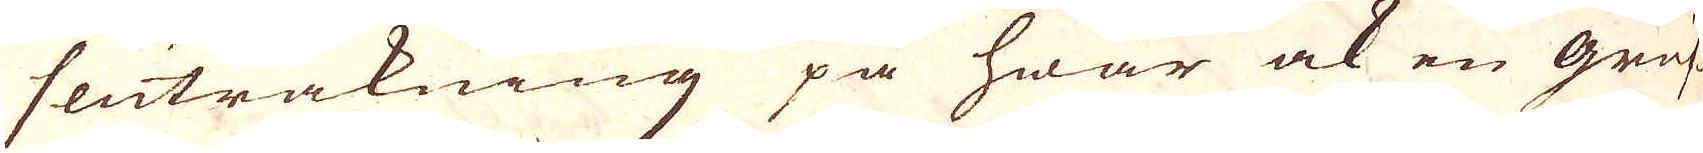sluträkning på hwar ock en gruf-
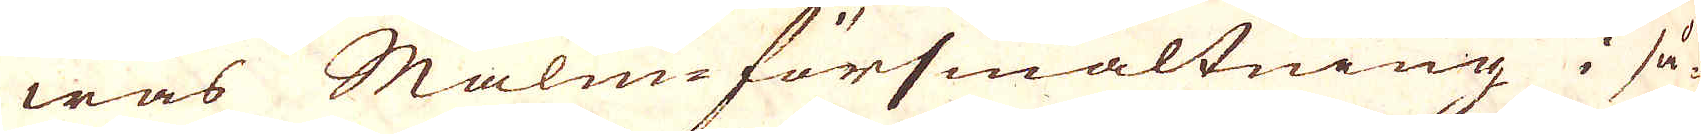was Malm-försmältning i så-
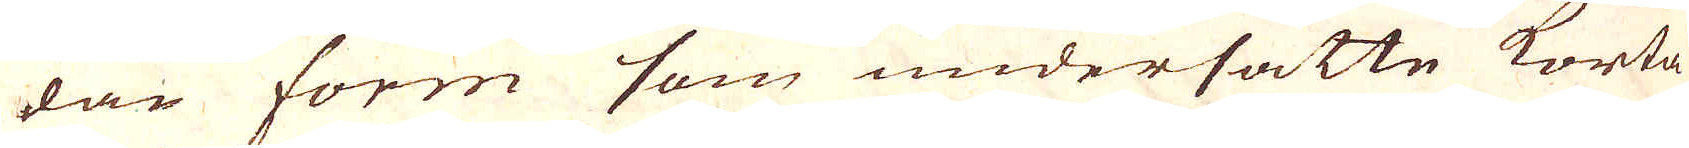dan form som undersatte korta
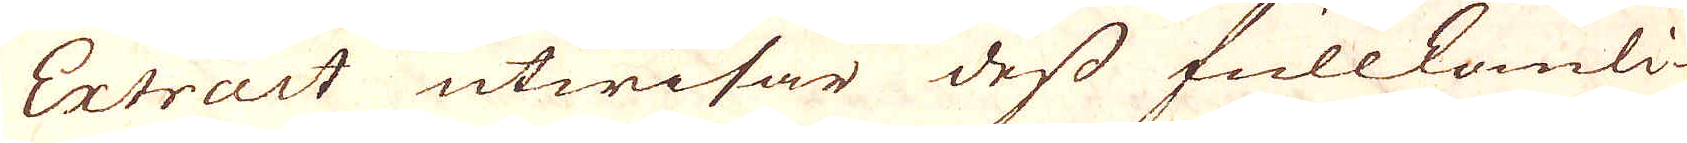Extract utwisar dess fullkomli-
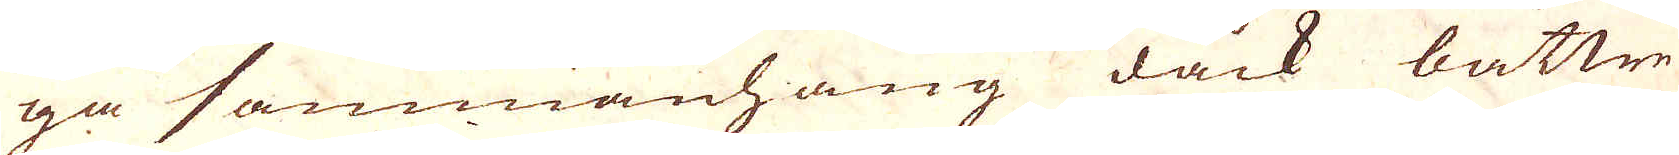ga sammanhang dåck bättre
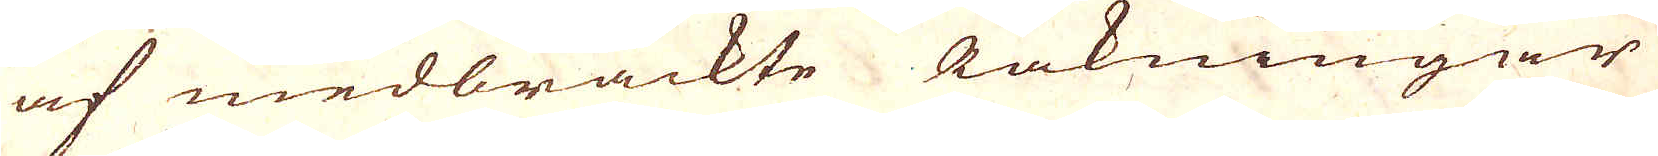af medbrackte Räkningar
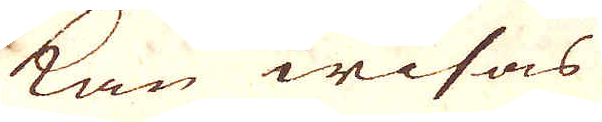kan wisas
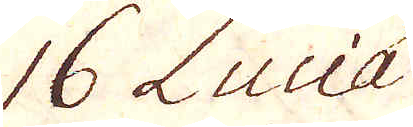16 Luciá
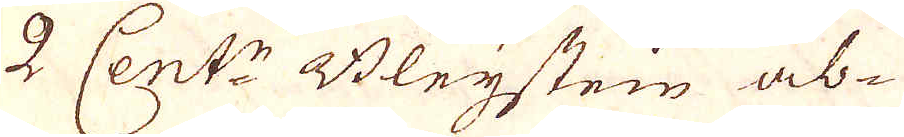2 Cent:r Bleijstein ab-
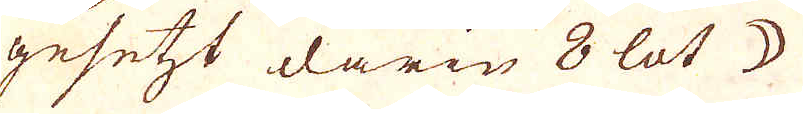gesetzt darin 8 lot ☽
